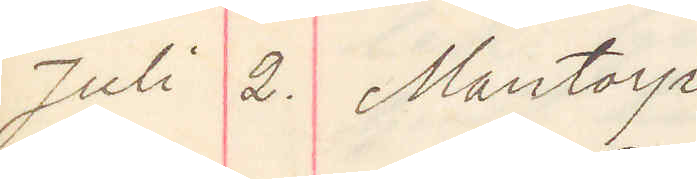Juli 2. Mantorp
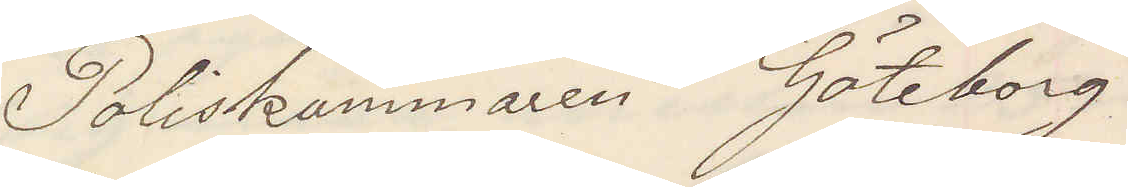Poliskammaren Göteborg
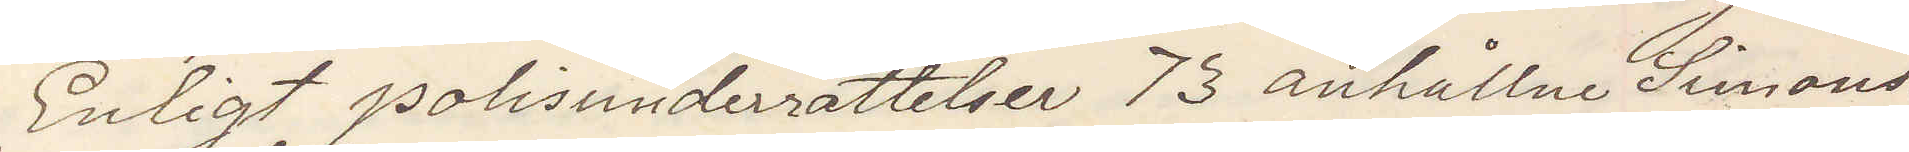Enligt polisunderrättelser 73 anhållne Simons¬
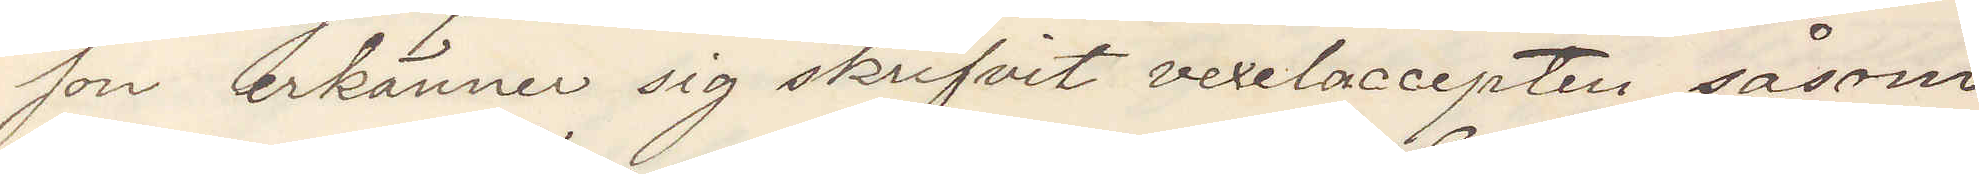son erkänner sig skrifvit vexelaccepten såsom
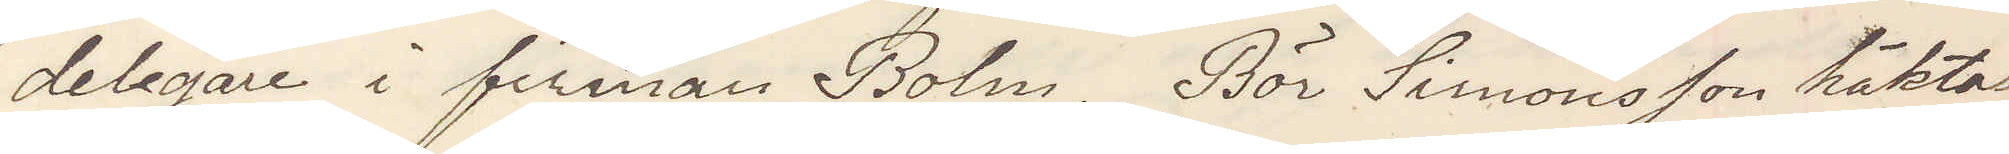delegare i firman Bolm. Bör Simonsson häktas?
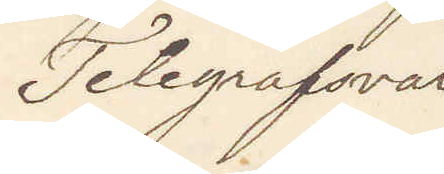Telegrafsvar
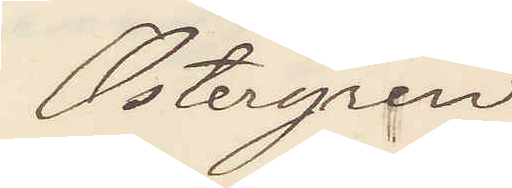Östergren
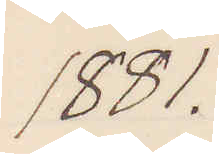1881.
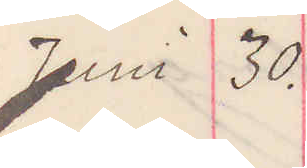Juni 30.
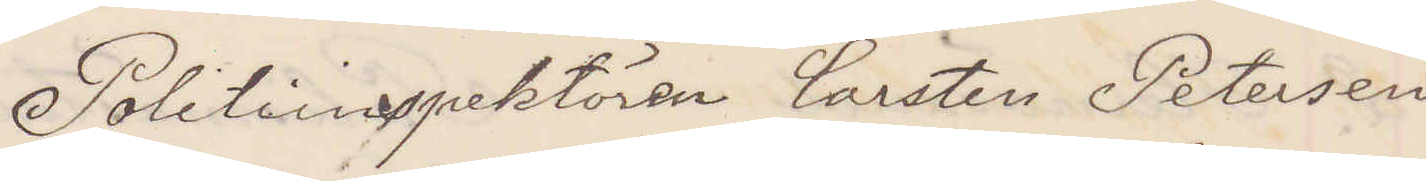Politiinspektören Carsten Petersen
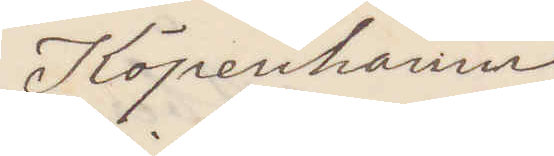Köpenhamn
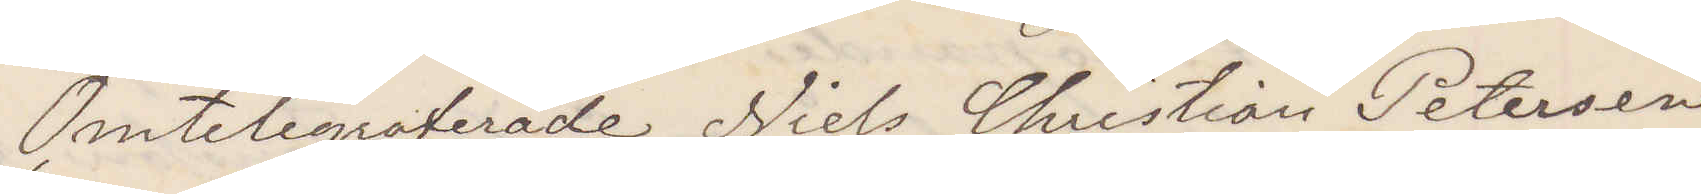Omtelegraferade Niels Christian Petersen
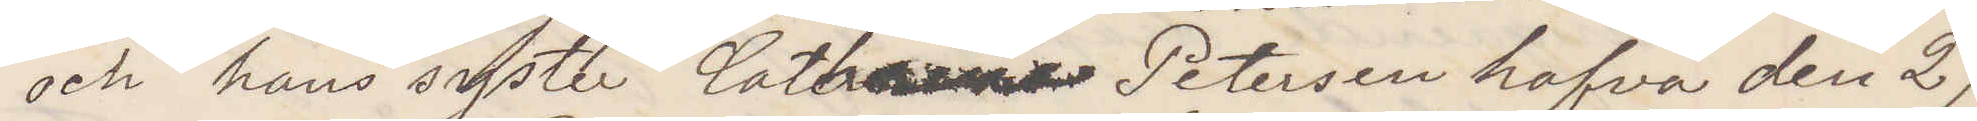och hans syster Cathrine Petersen hafva den 29
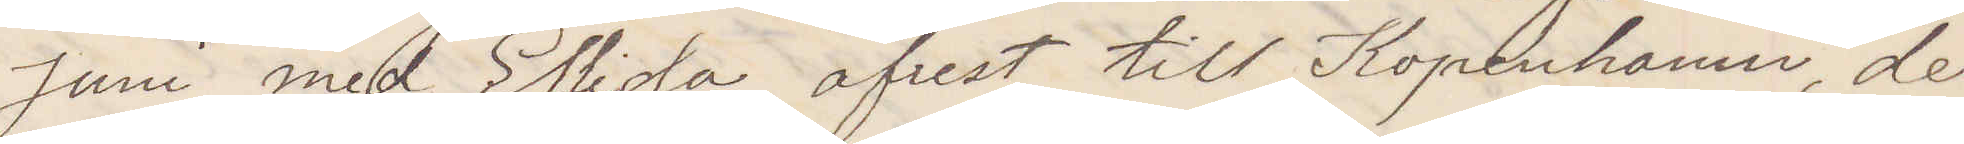Juni med Ellida afrest till Kopenhamn, der
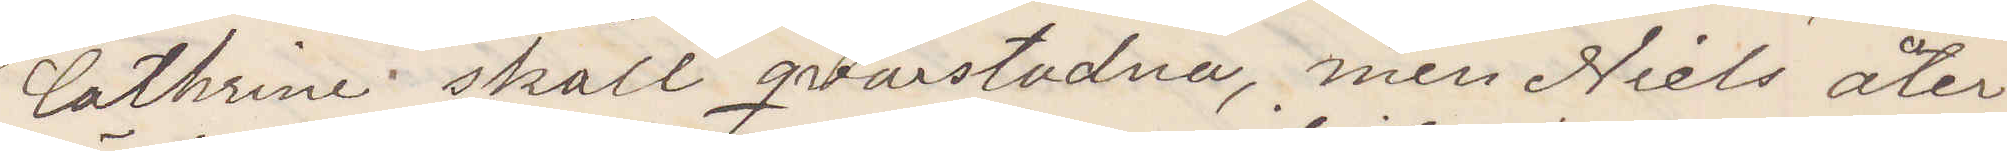Cathrine skall qvarstadna, men Niels åter¬
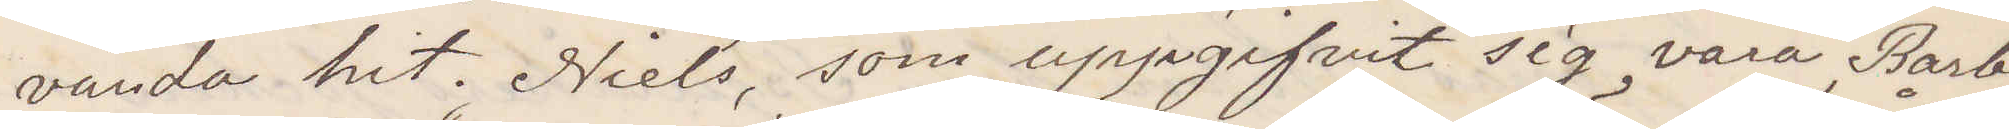vända hit. Niels som uppgifvit sig vara Barbe¬
